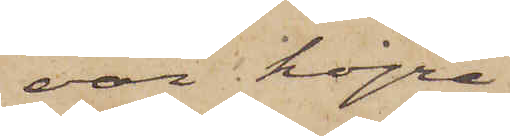var högre
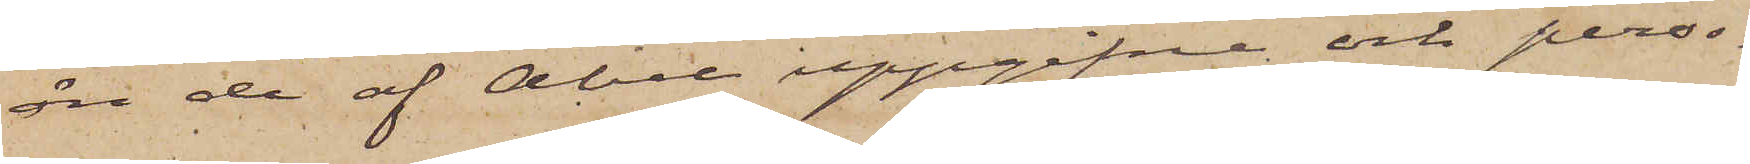än de af Abel uppgifne och perso¬
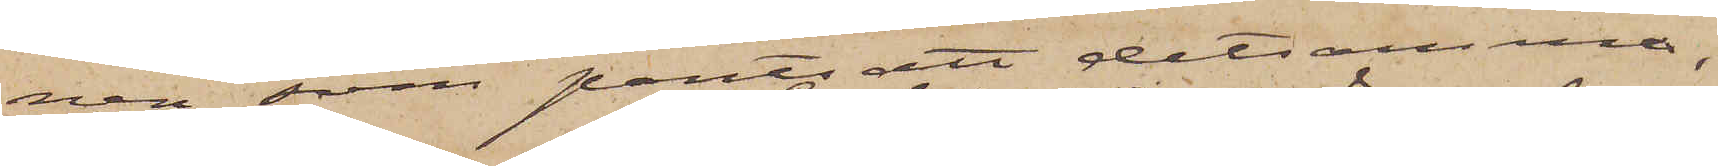nen, som pantsatt detsamma,
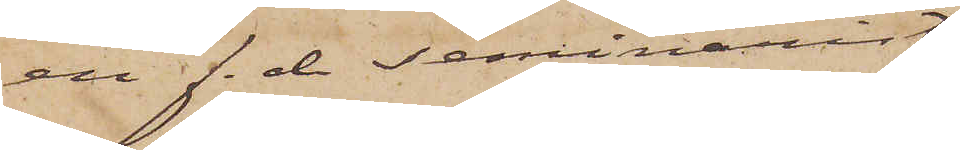en f. d. Seminarist
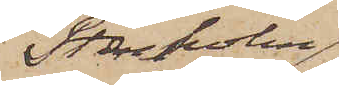Stenholm,
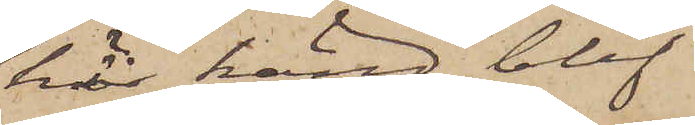här känd, blef
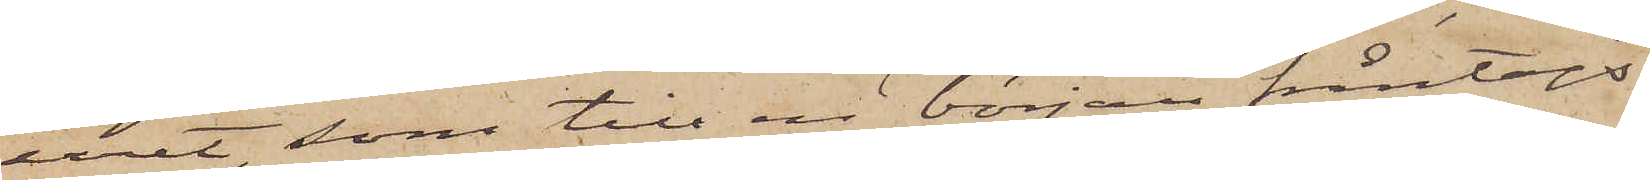uret, som till en början fråntogs
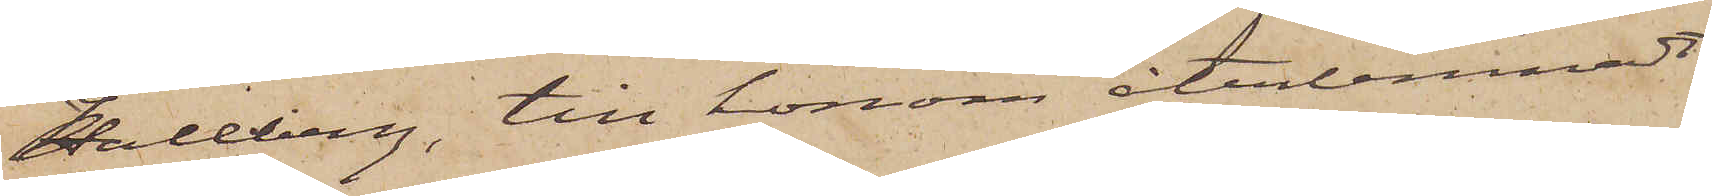Hallberg, till honom återlemnadt
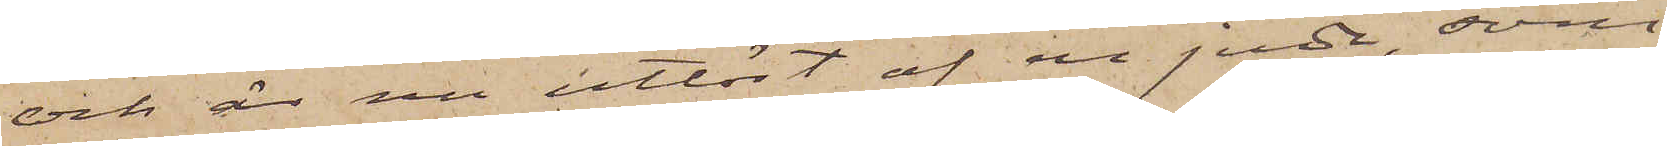och är nu utlöst af en jude, som
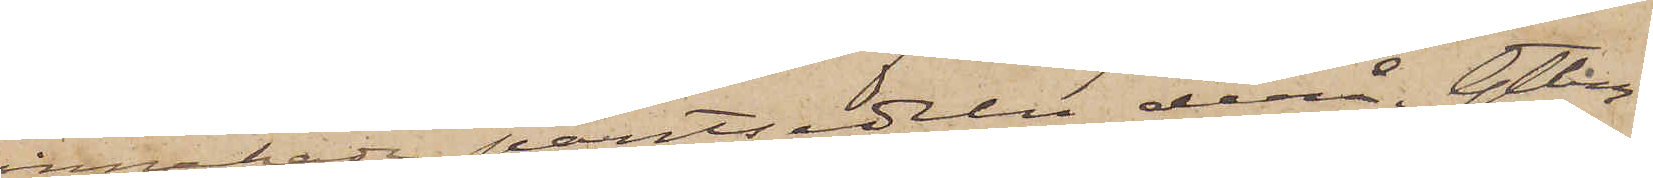innehade pantsedeln derå. Gtbg
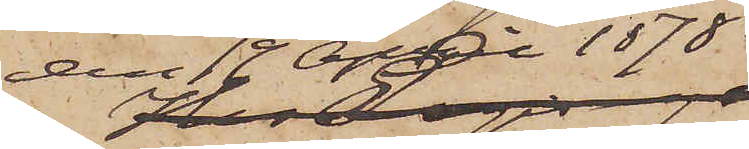den 19 April 1878.
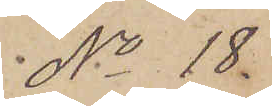No 18
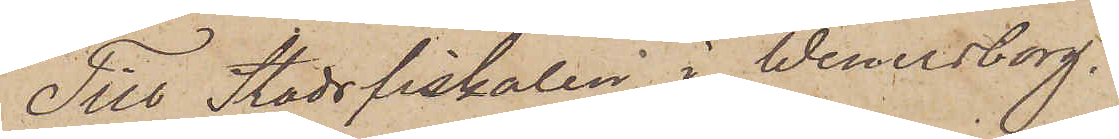Till Stadsfiskalen i Wenersborg.
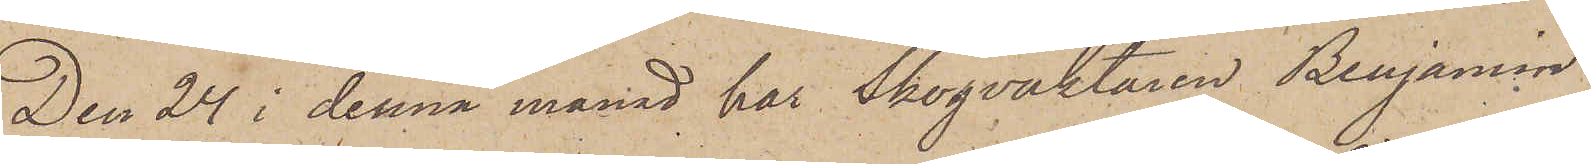Den 24 i denna månad har Skogvaktaren Benjamin
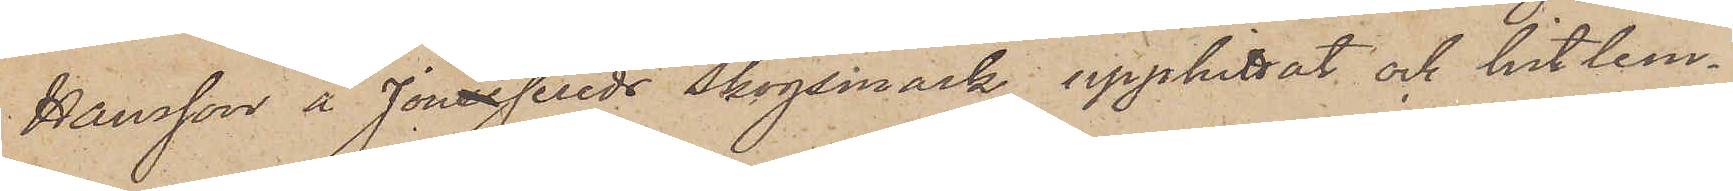Hansson å Jonassereds Skogsmark upphittat och hitlem¬
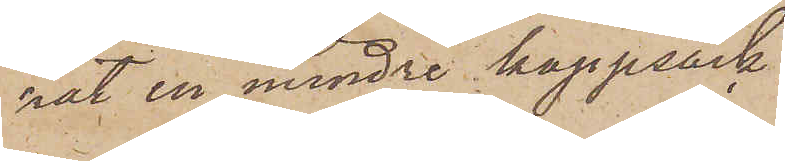nat en mindre kappsäck,
